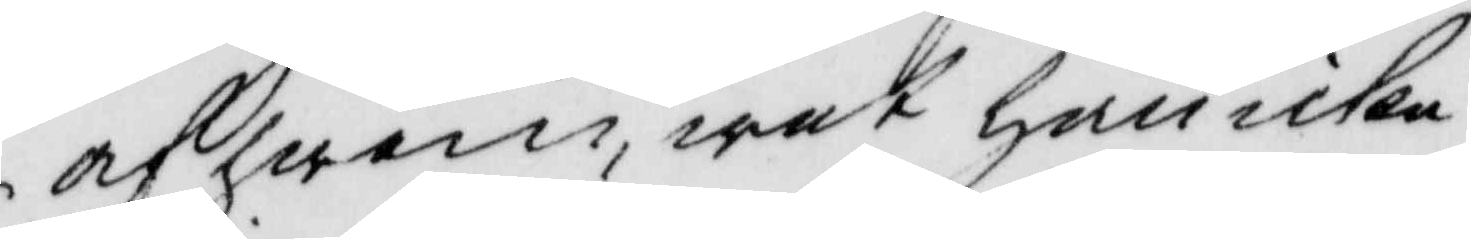af hwem, wet han icke.
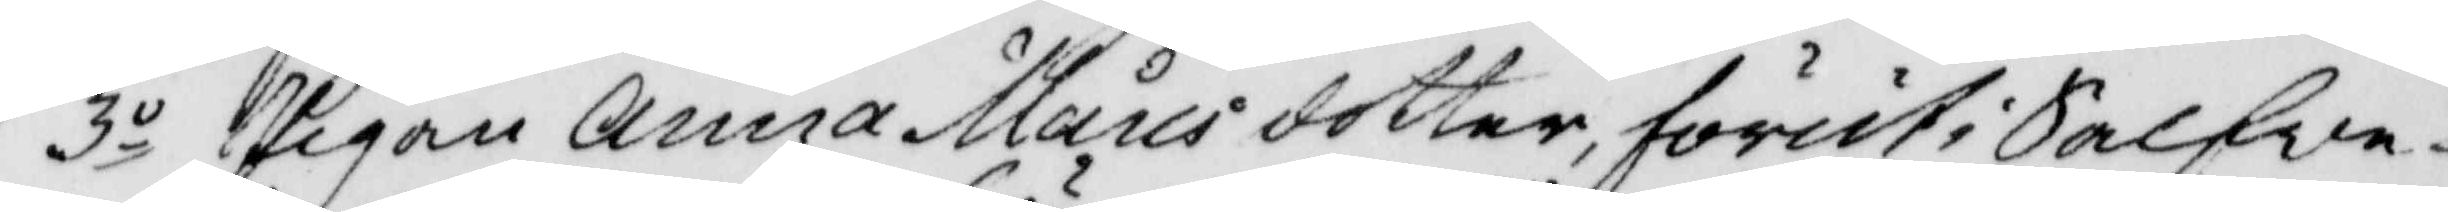3o Pigan Anna Månsdotter, förut i Salfve¬
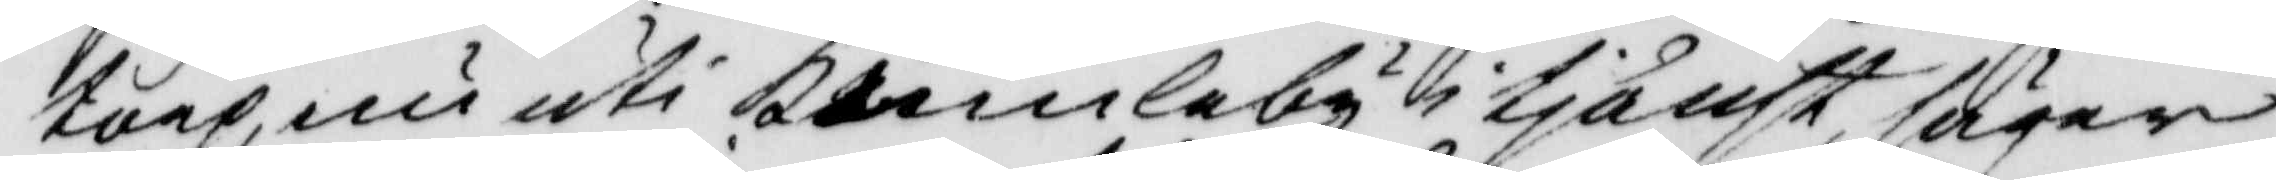torp, nu uti Kumlaby i tjänst, säger
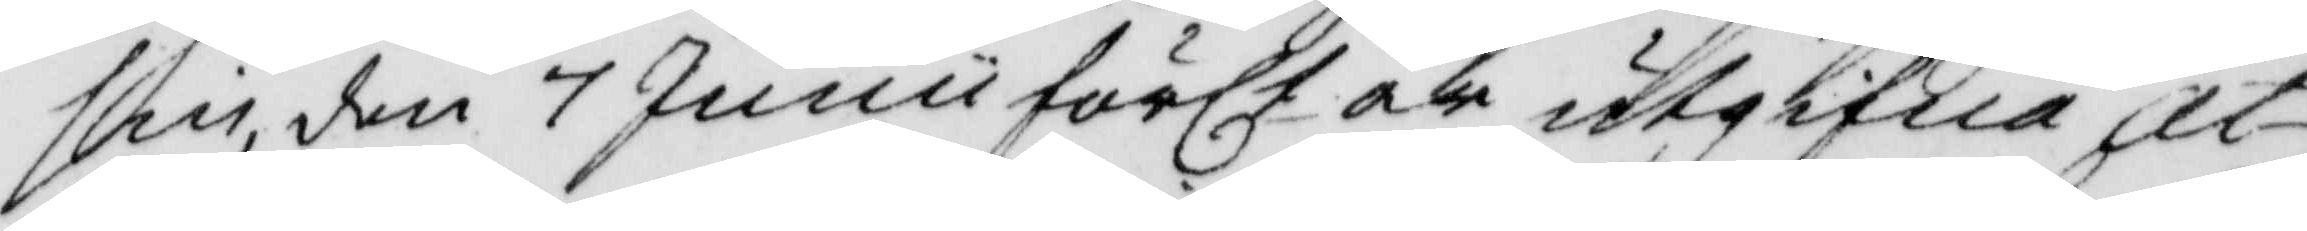sin, den 7 Junii förlt år utgifna at¬
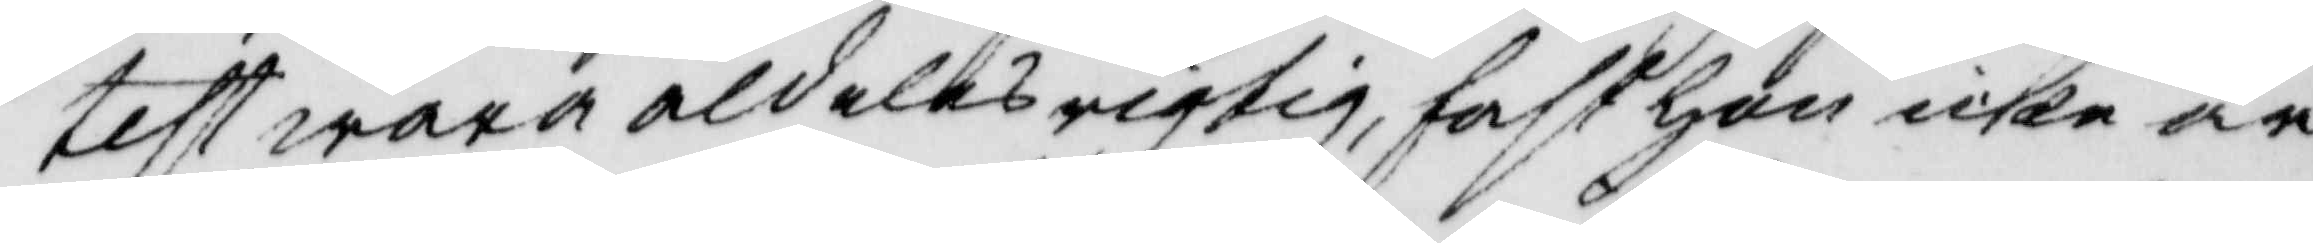test wara aldeles rigtig, fast hon icke är
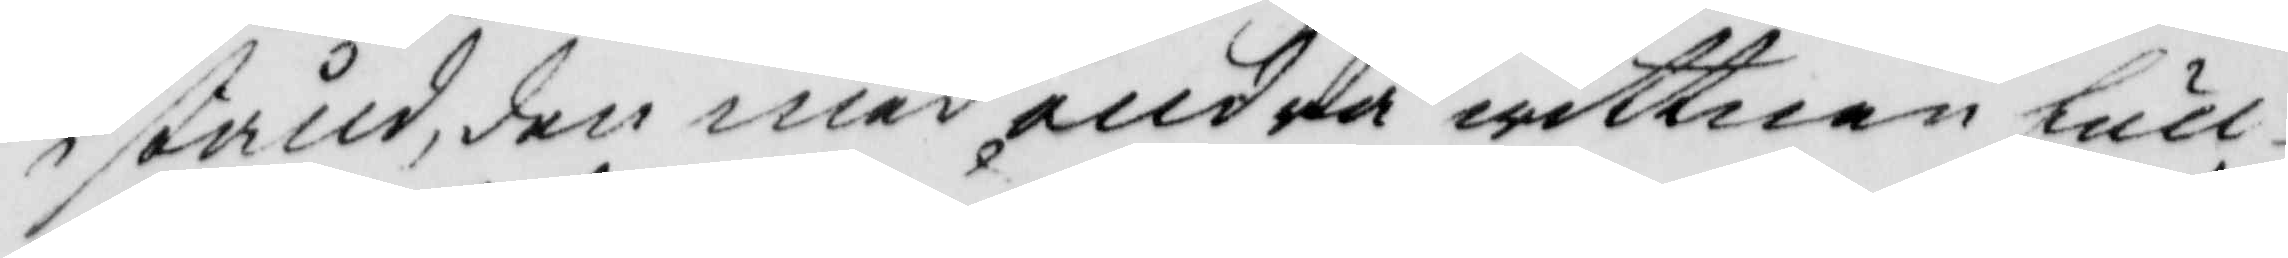i stånd, den med anrda wittnen full¬
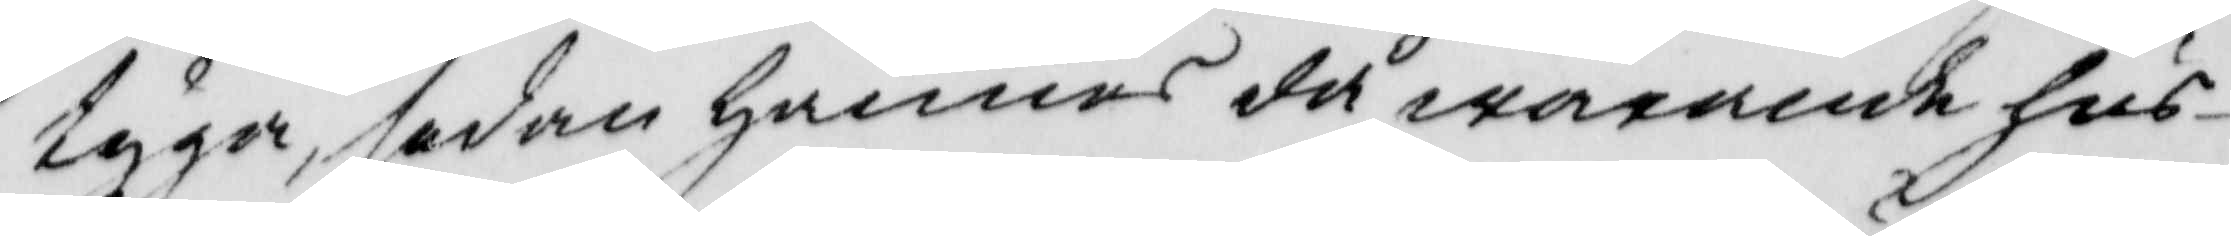tyga, sedan hännes då warande hus¬
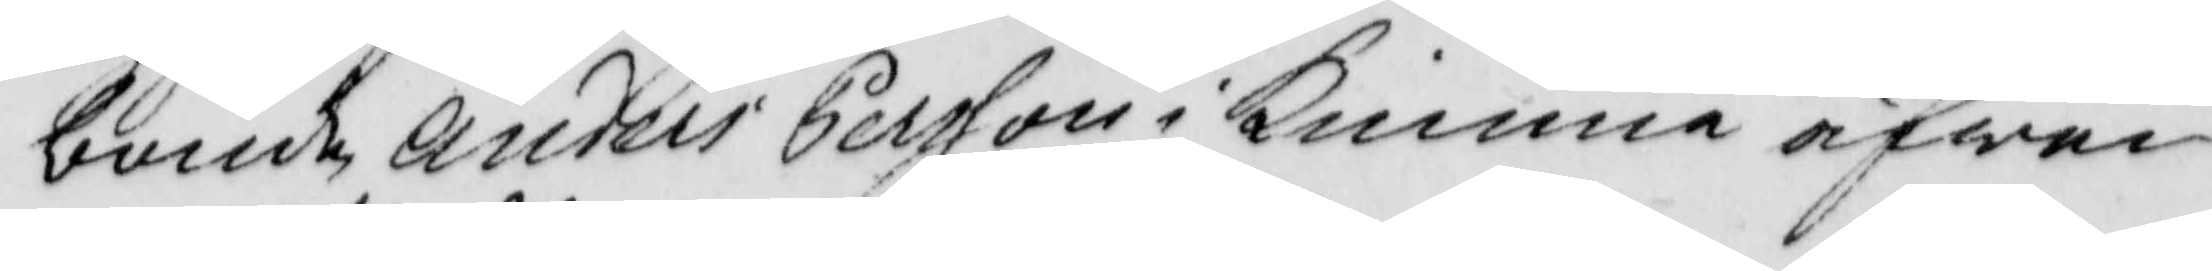bonde Anders Persson i kimme äfwen
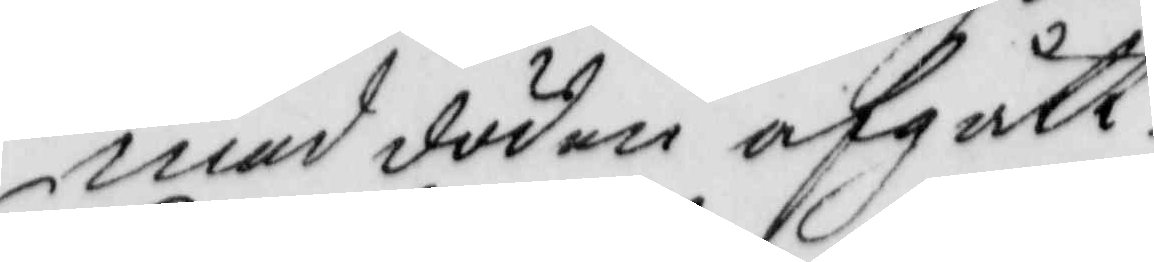med döden afgått.
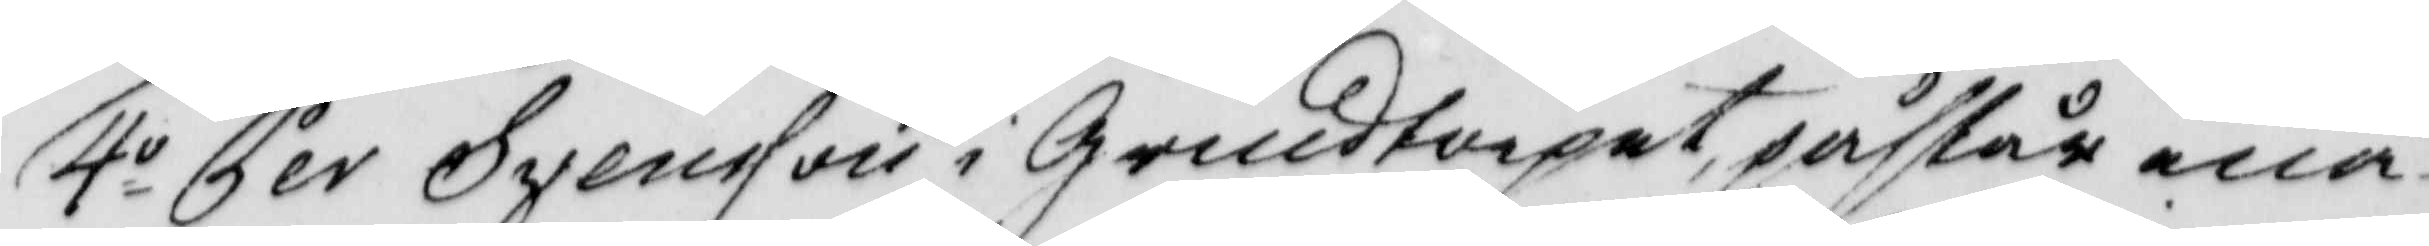4o Per Svensson i Grindtorpet, påstår ena¬
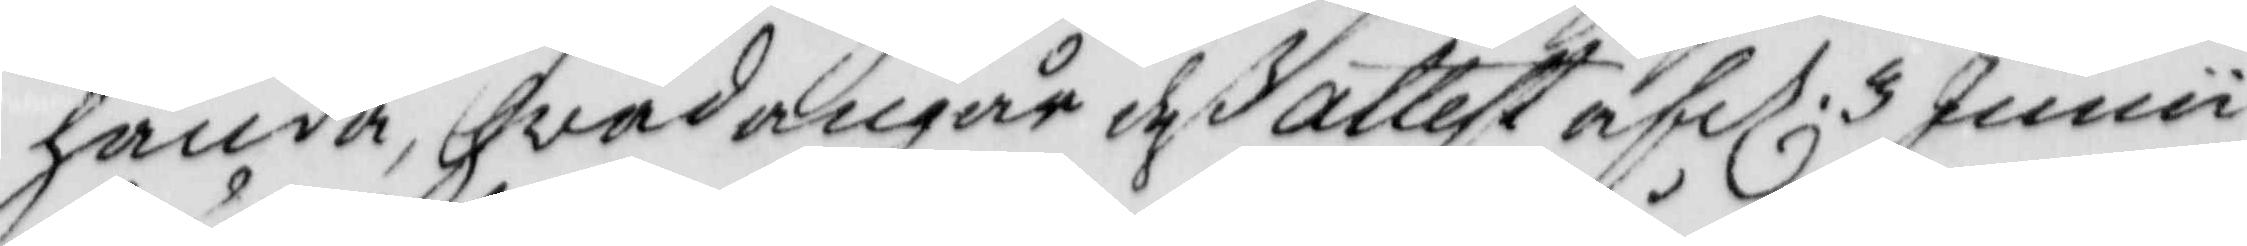handa, hwad angår deß attest af d. 3 Junii
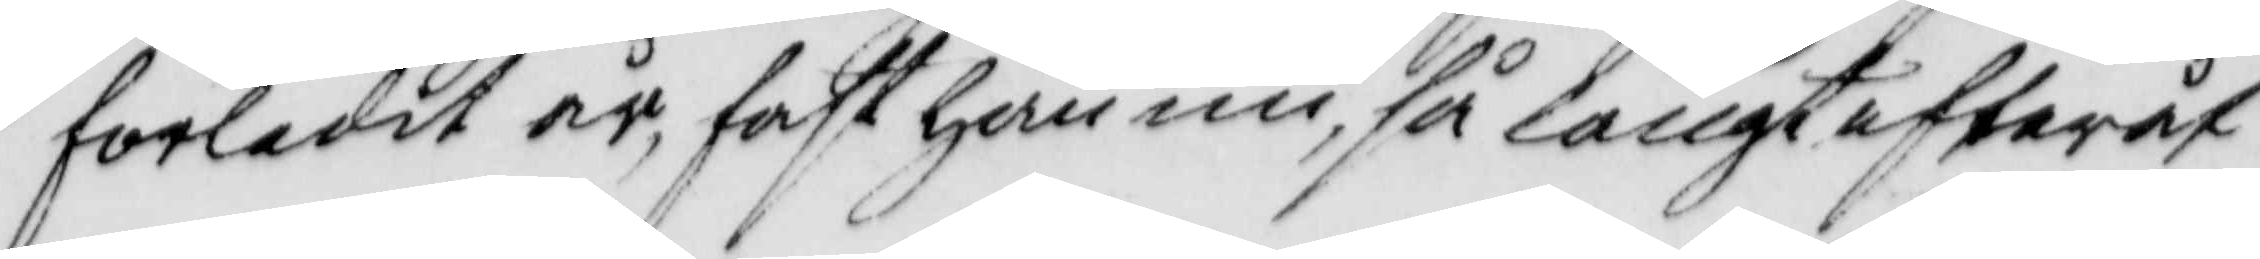förledet år, fast han nu, så långt efteråt
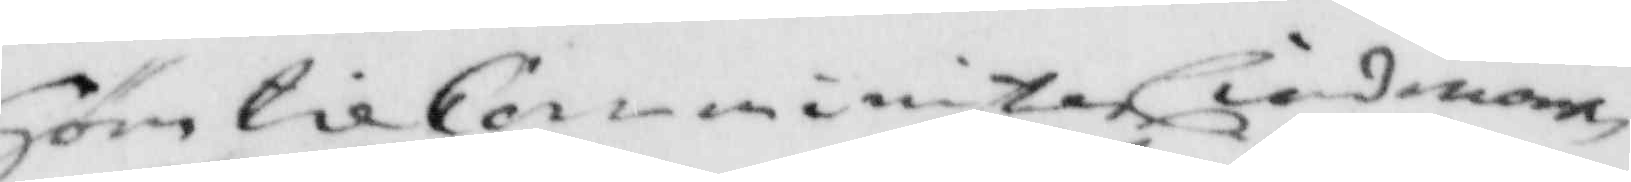Höre til Comminister Lindman
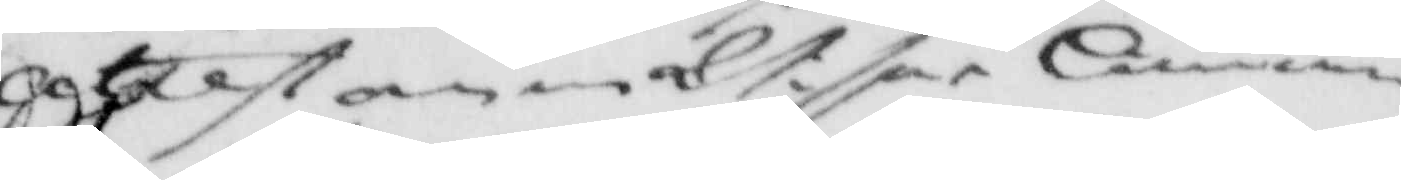attest om mat. får Lämna
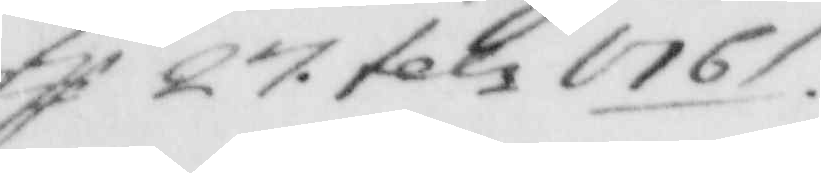tj 27 febr 1761.
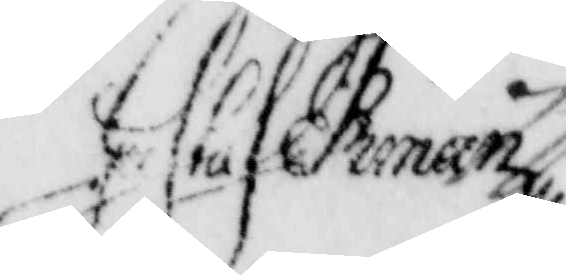Gustaf Ekman
